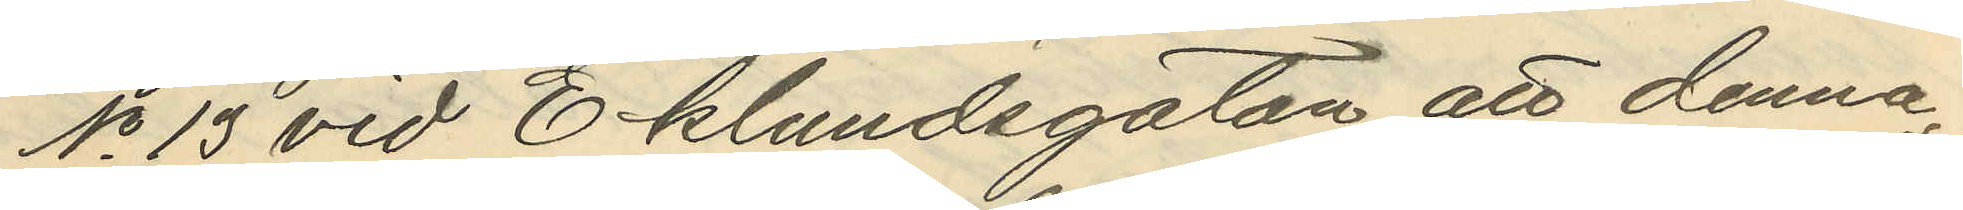No 13 vid Eklundsgatan att denna
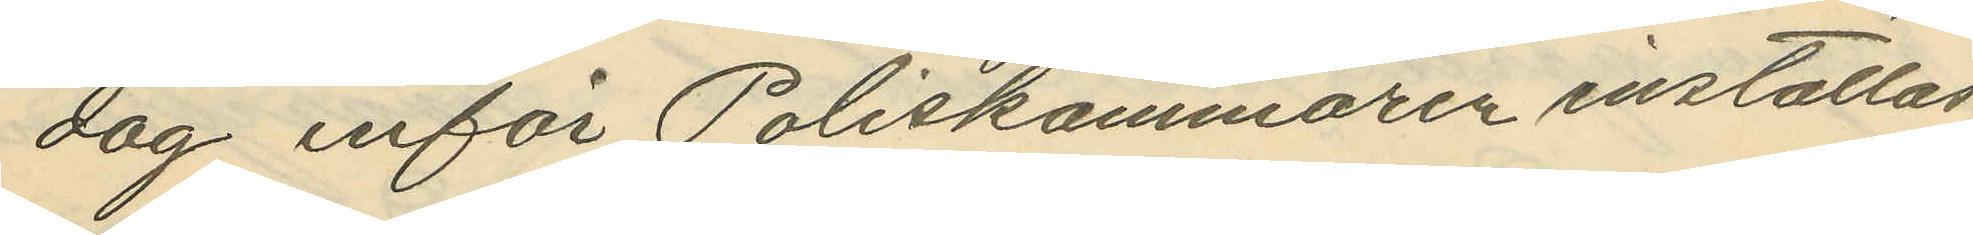dag inför Poliskammaren inställas.
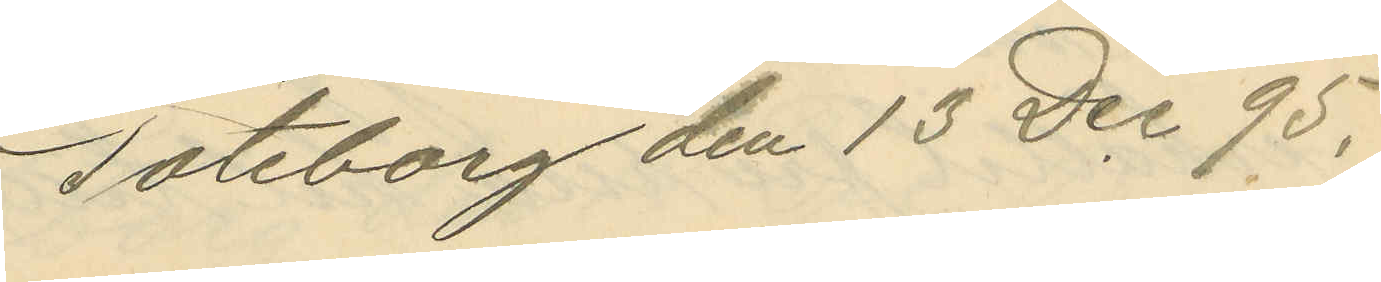Göteborg den 15 Dec 95.
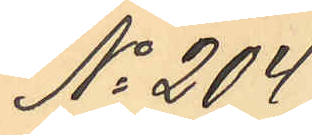No 204
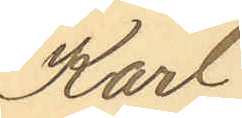Karl
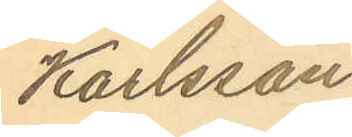Karlsson
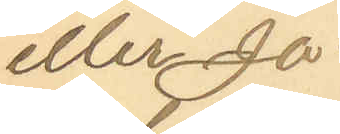eller Ja¬
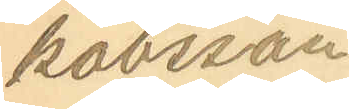kobsson
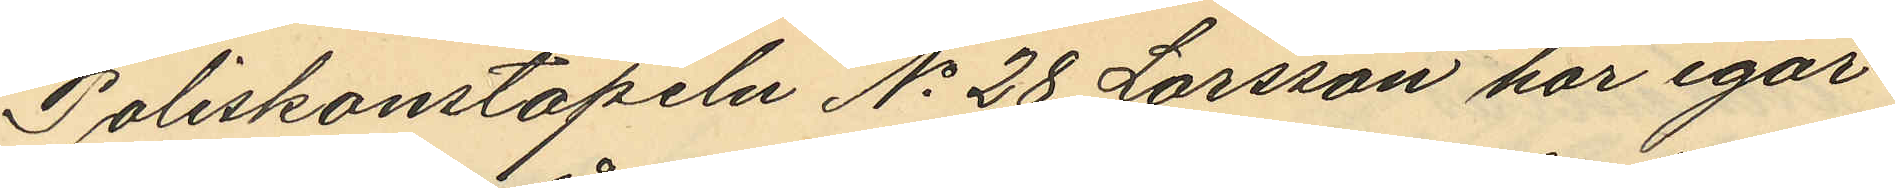Poliskonstapeln No 28 Larsson har igår
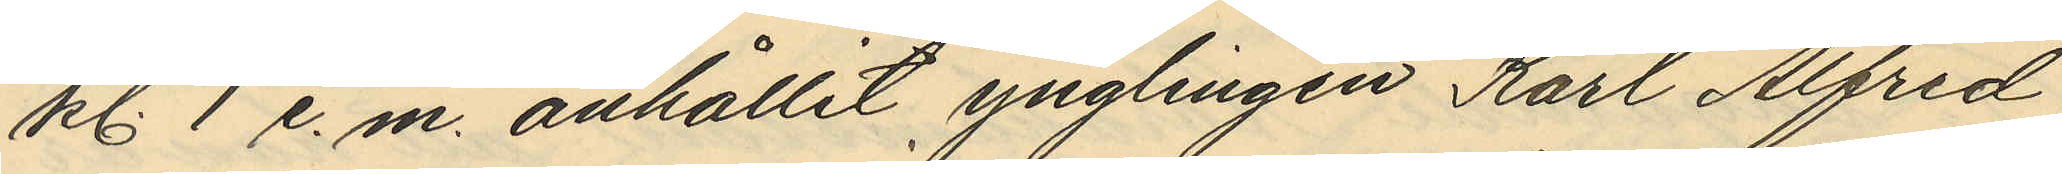kl. 1 e. m. anhållit ynglingen Karl Alfred
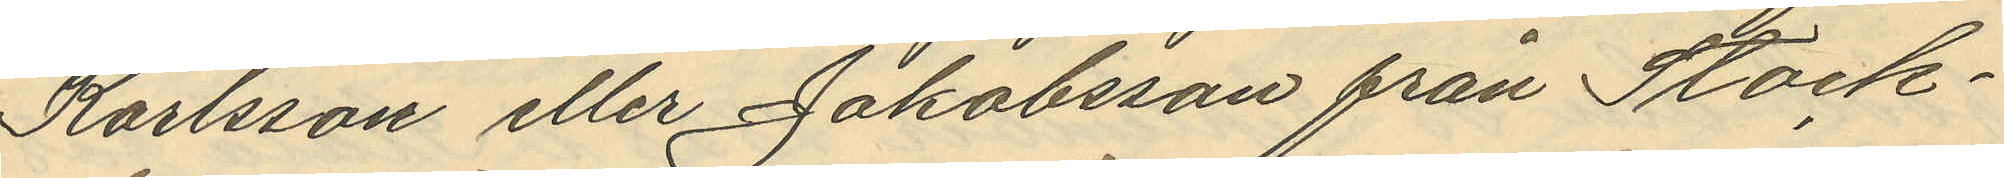Karlsson eller Jakobsson från Stock¬
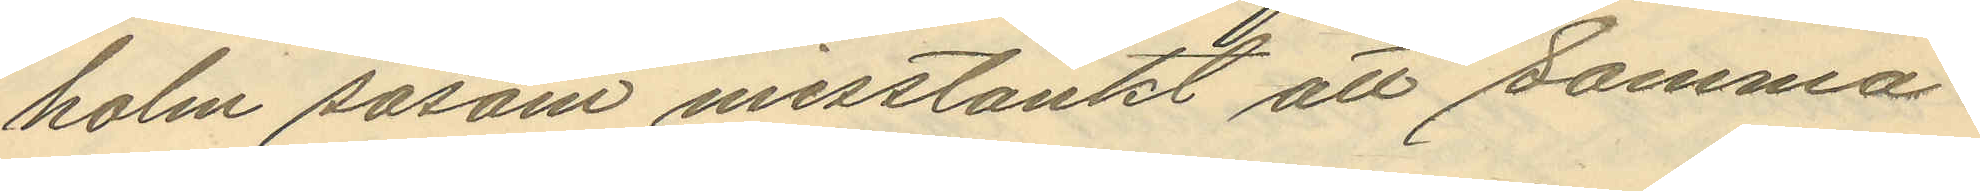holm såsom misstänkt att samma
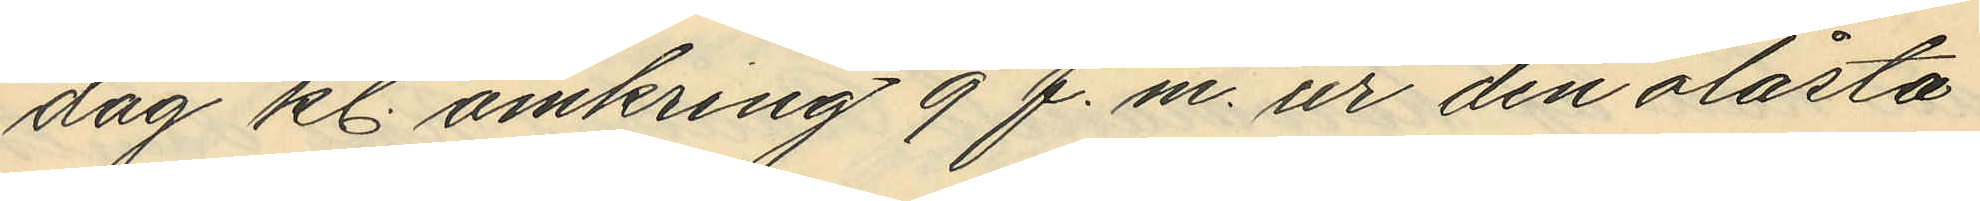dag kl. omkring 9 f.m. ur den olåsta
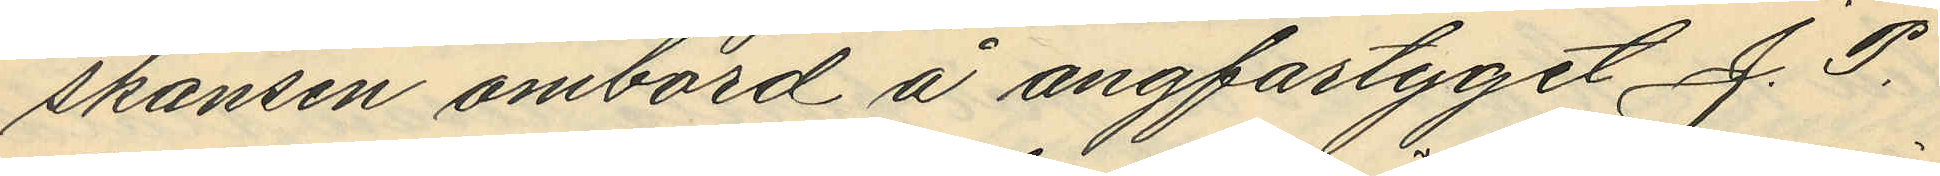skansen ombord å ångfartyget J. P.
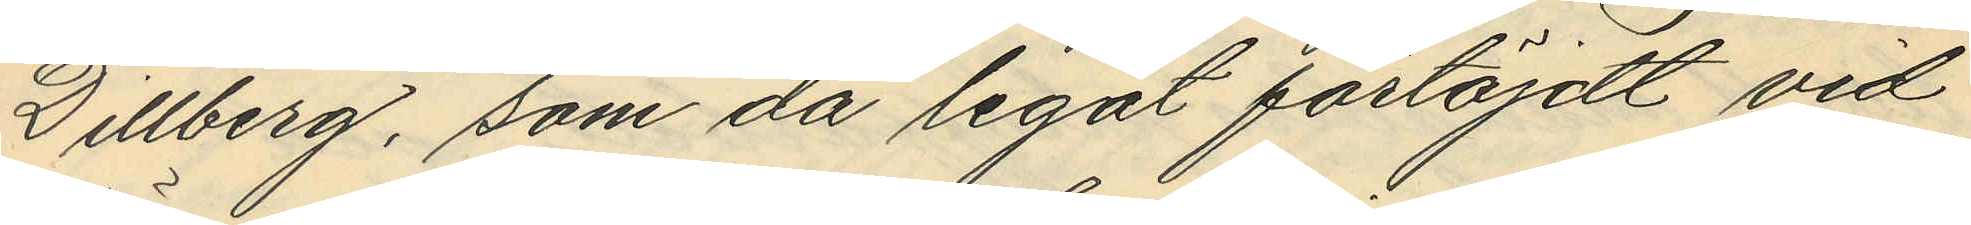Dillberg, som då legat förtöjdt vid
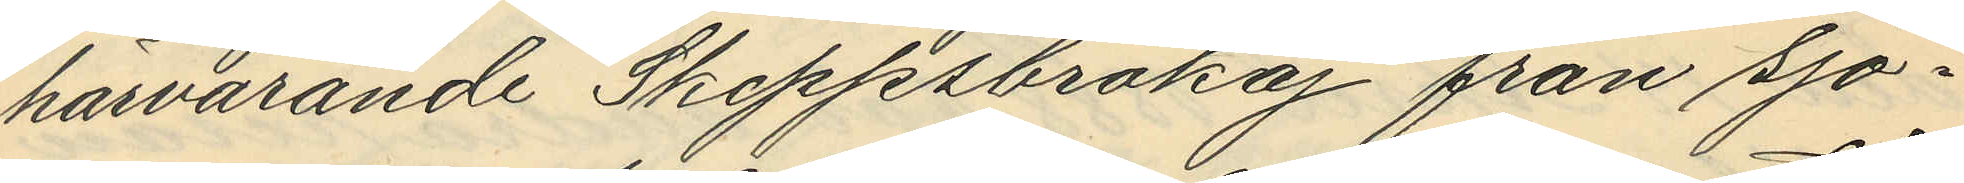härvarande Skeppsbrokaj från sjö¬
